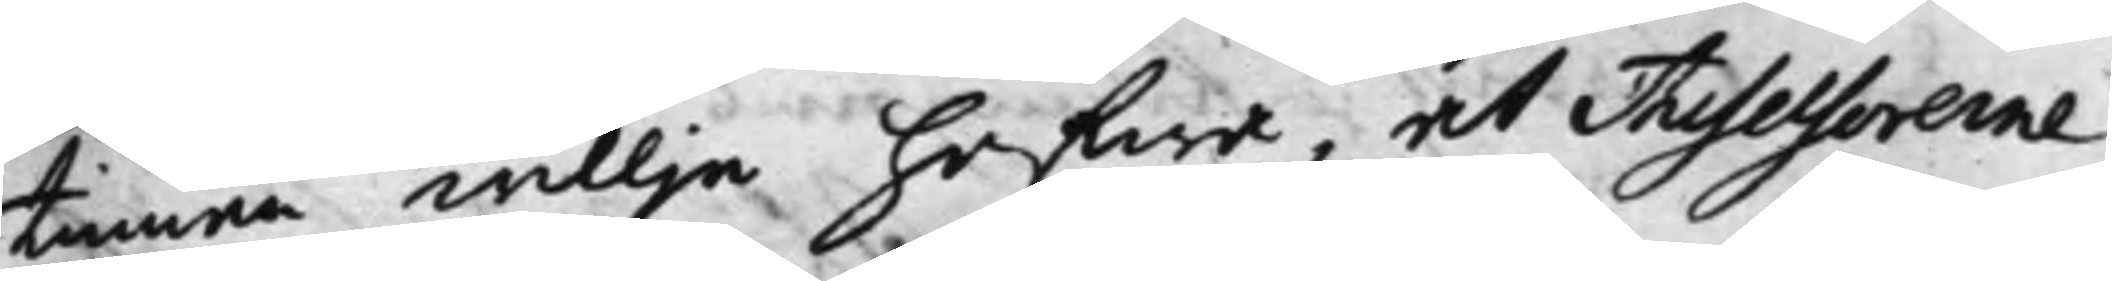tinnan willja hafwa, at Assessorerne
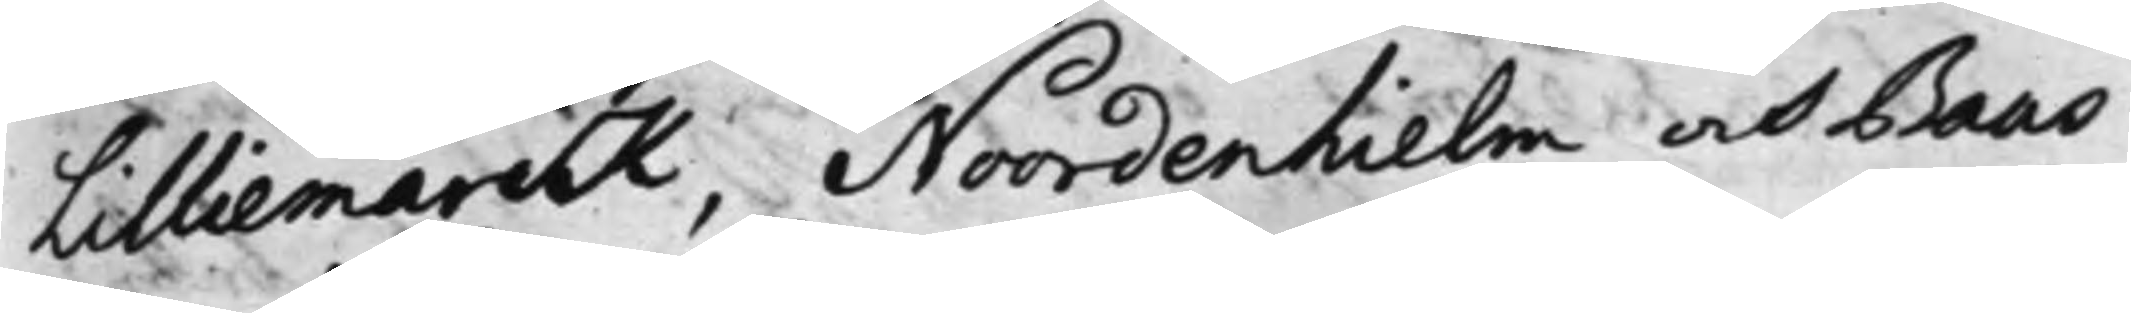Lilliemarck, Noordenhielm och Baas
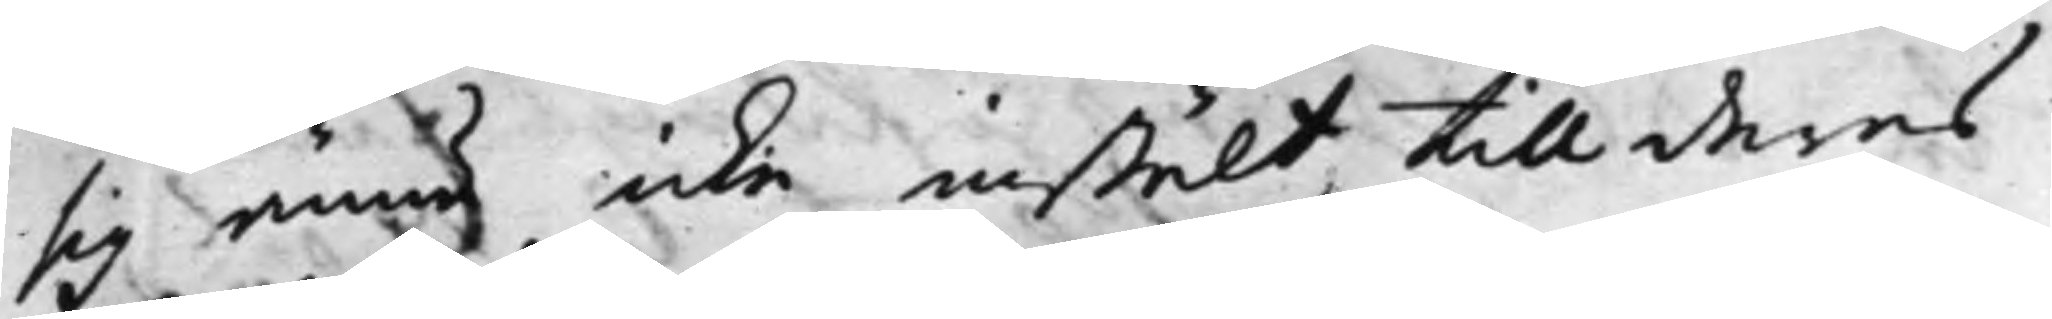sig ännu icke instält till deras
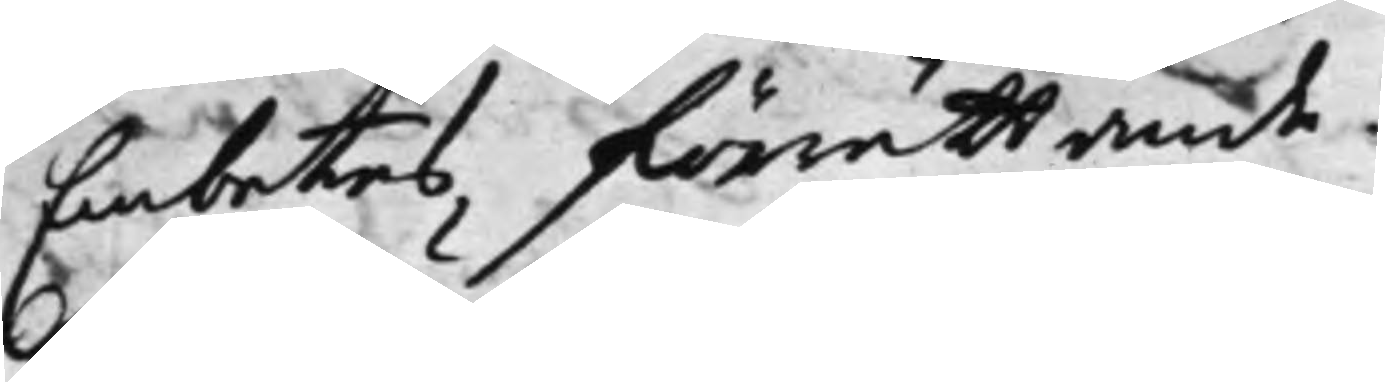Embetes förrättande.
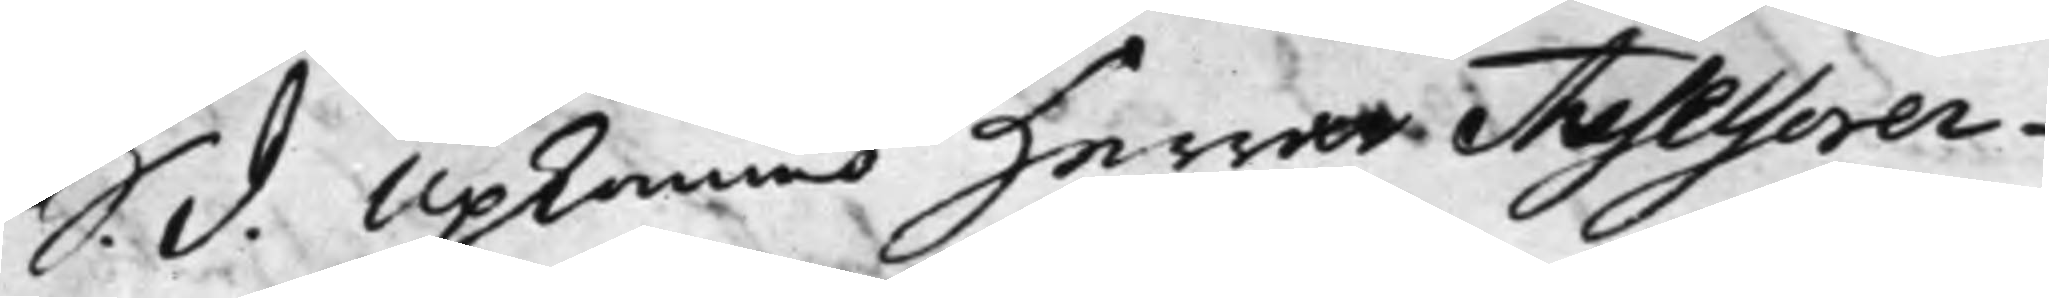S. d. Upkommo Herrar Assesorer¬
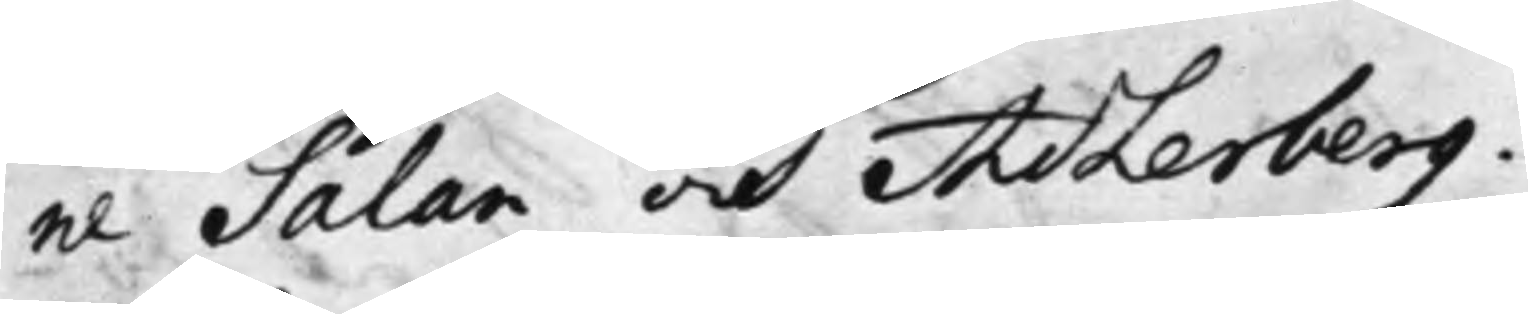ne Salan och Adlerberg.
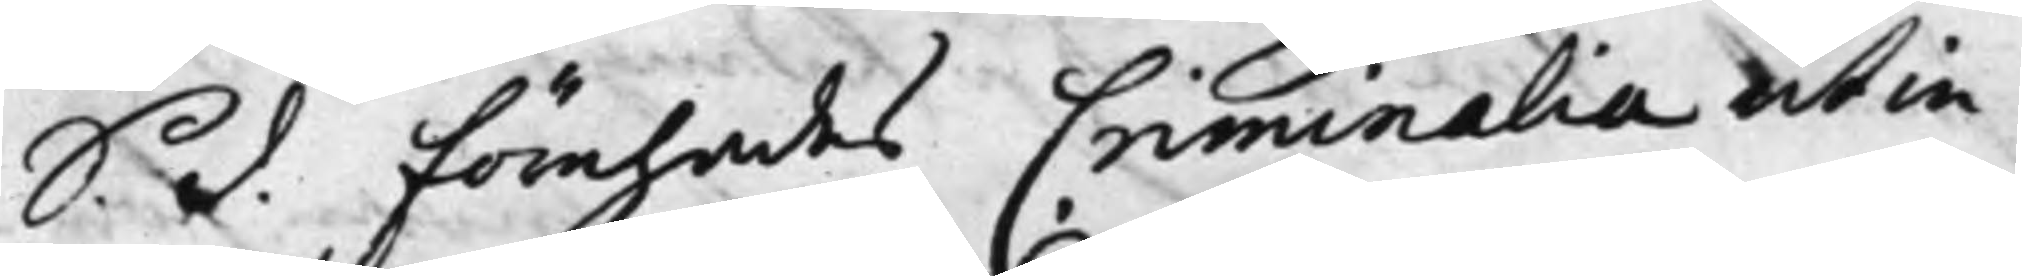S. d. Förehades Criminalia ut in
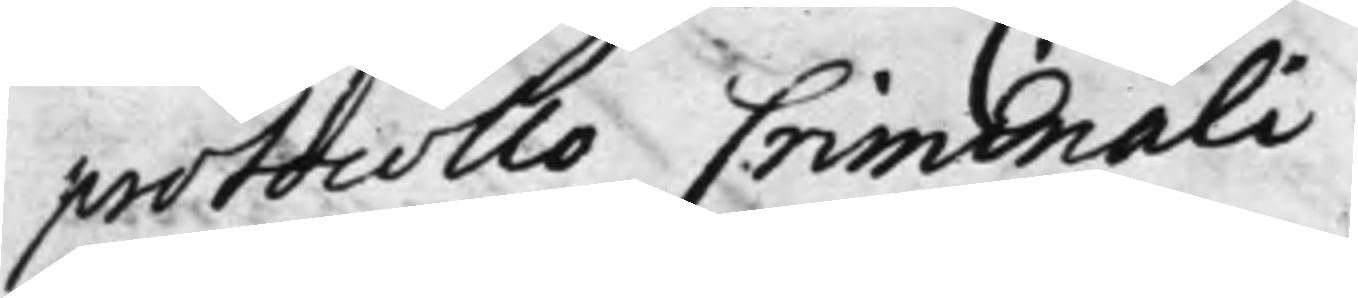protocollo Criminali.
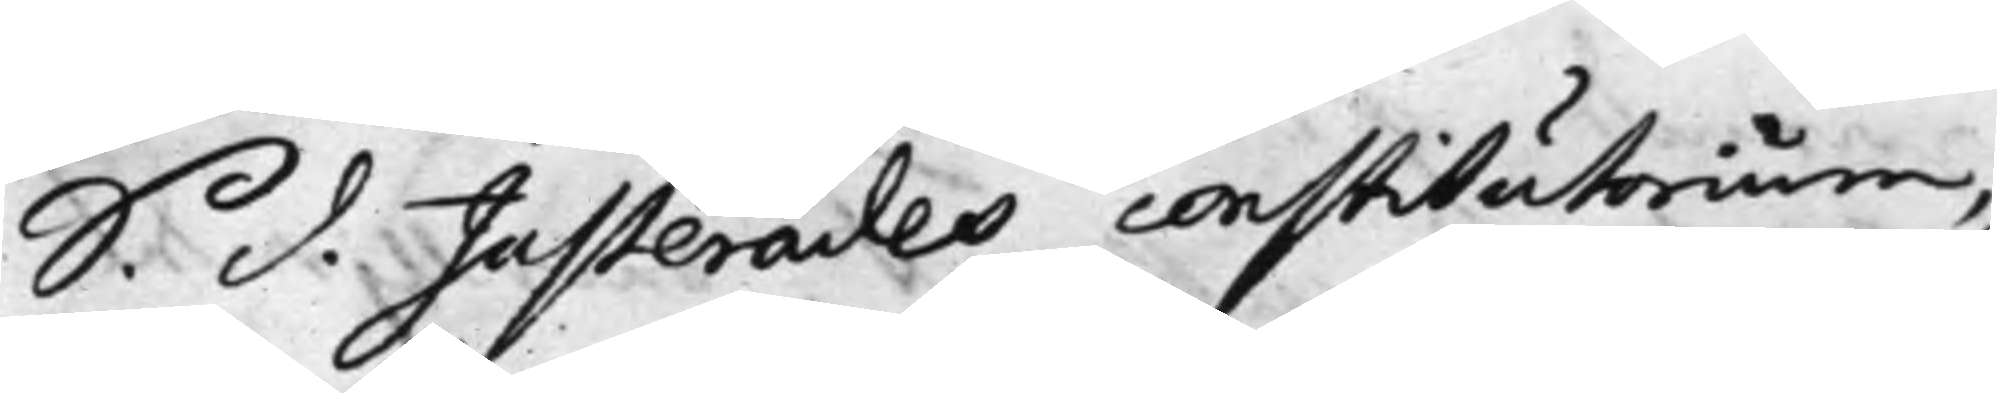S. d. Justerades constitutorium,
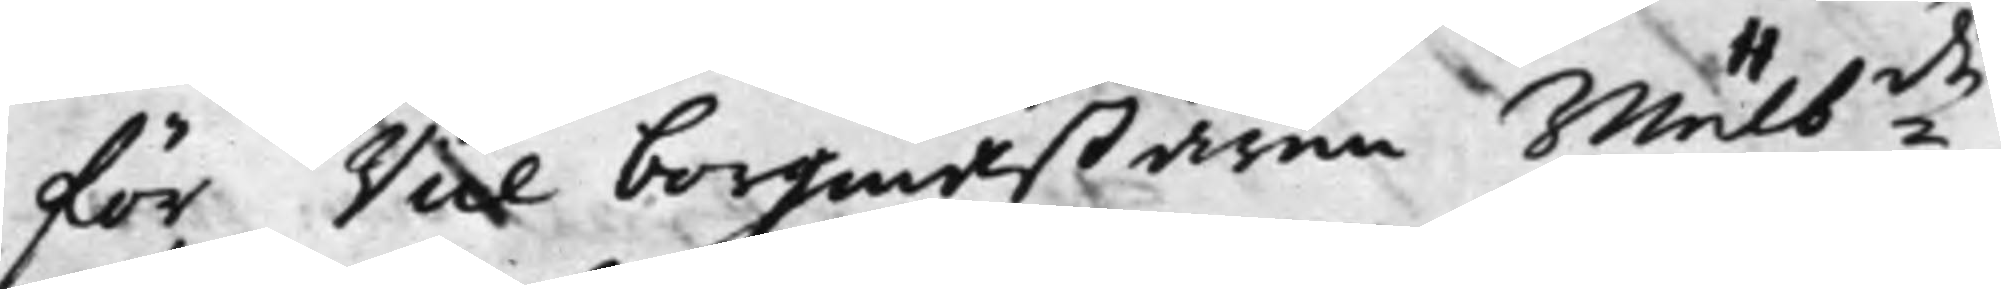för Vice borgmästaren Wälb:de
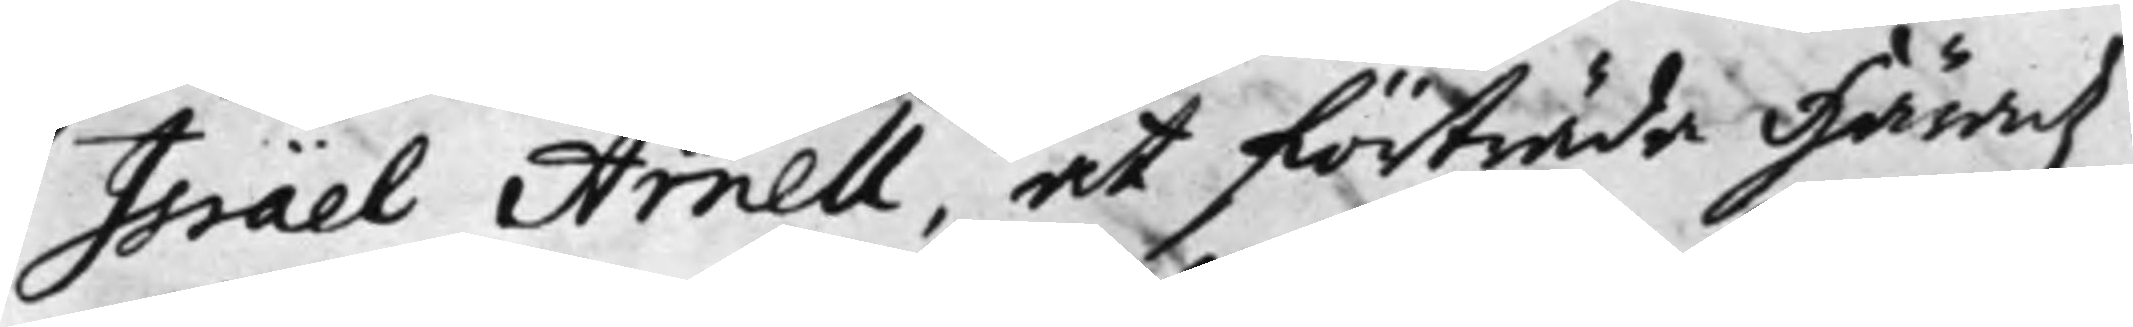Israël Arnell, at förträda Häradz¬
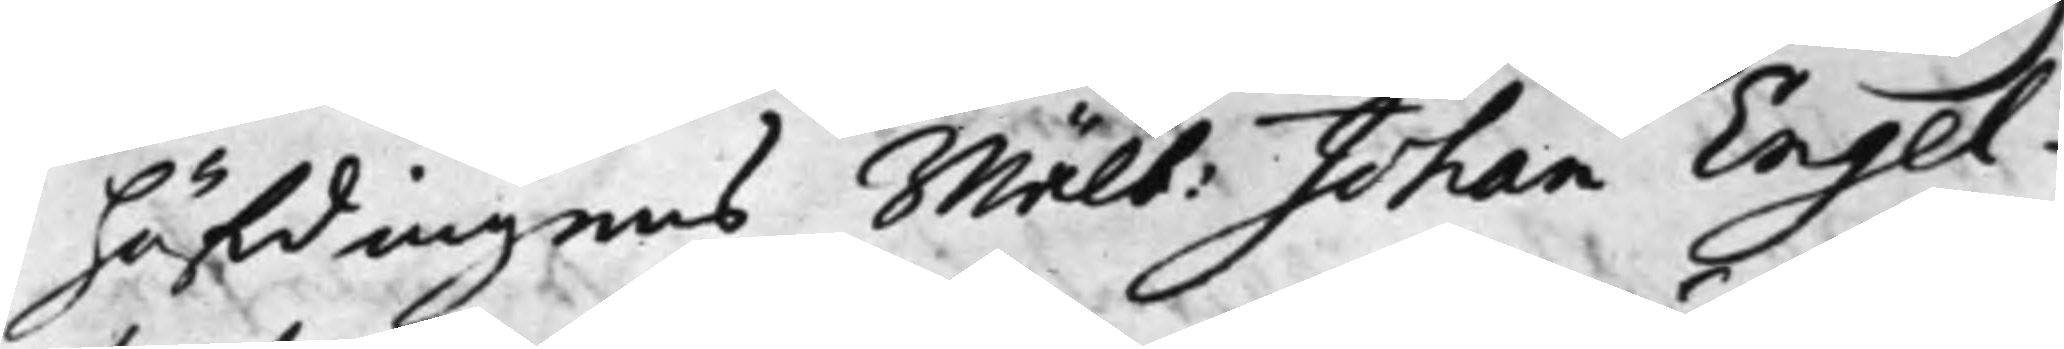höfdingens Wälb: Johan Engel¬
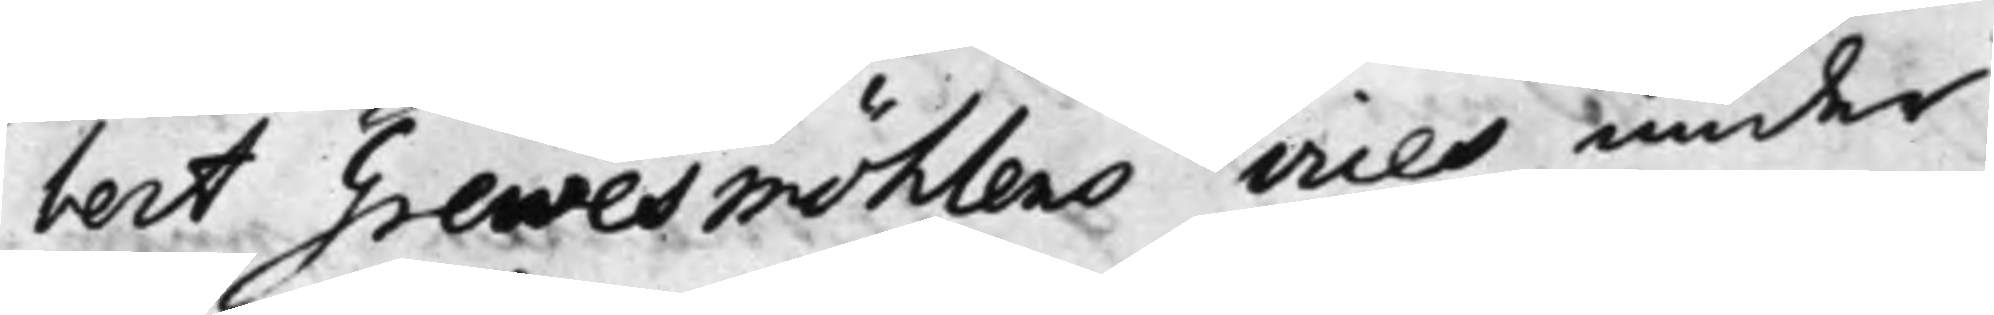bert Grewesmöhlens vices under
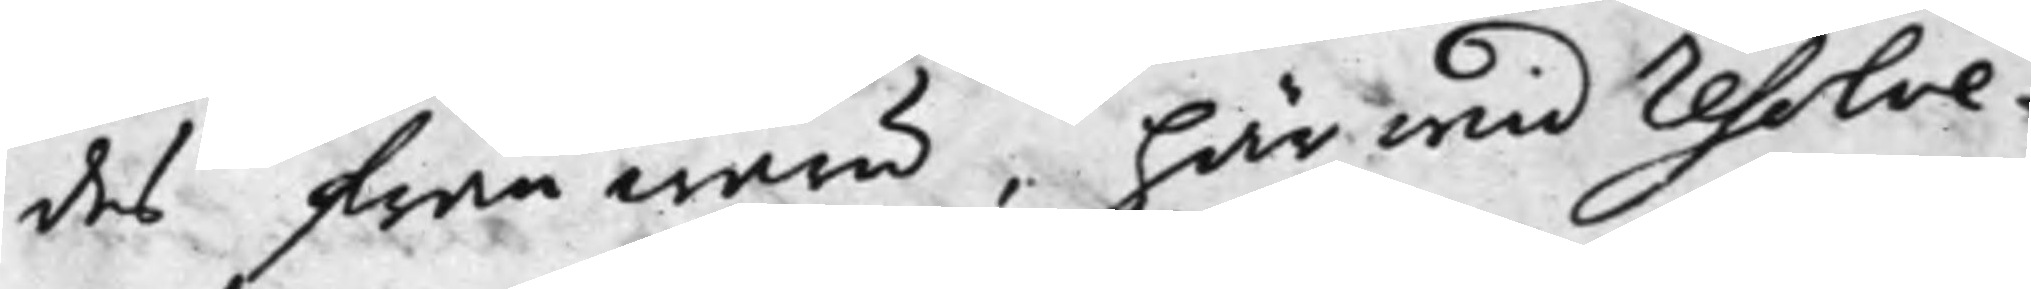des frånwaru, här wid resolve¬
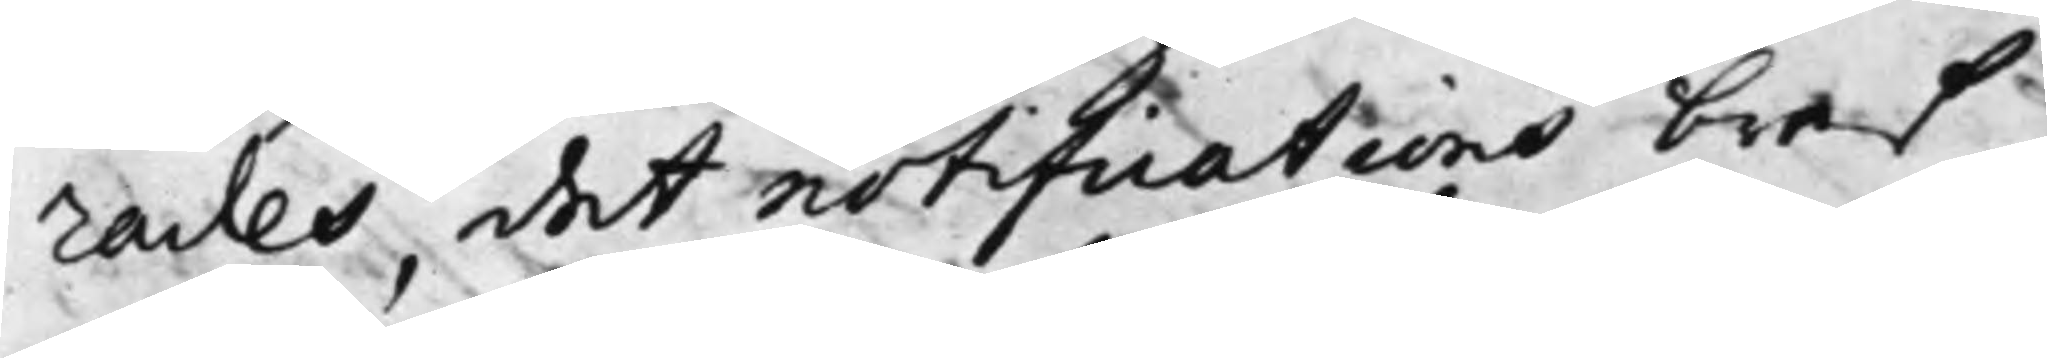rades, det notifications bref
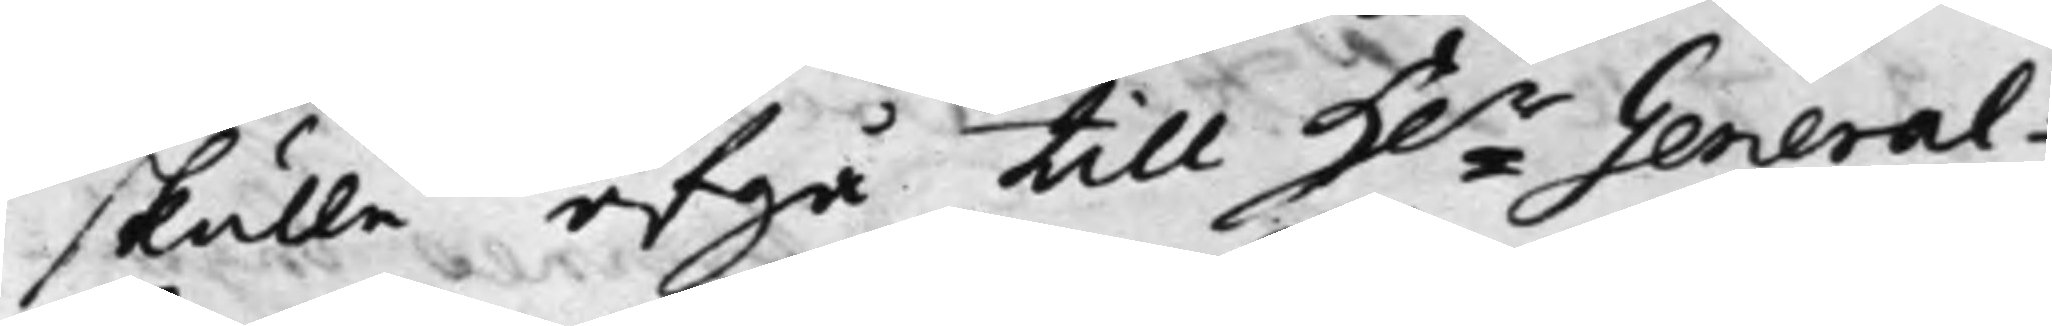skulle afgå till H.r General¬
